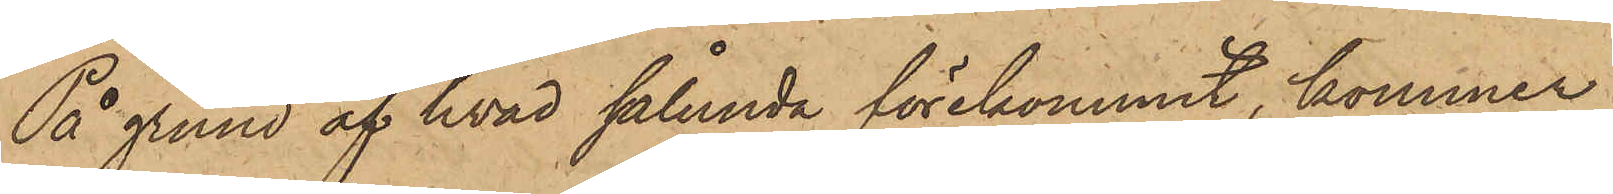På grund af hvad sålunda förekommit, kommer
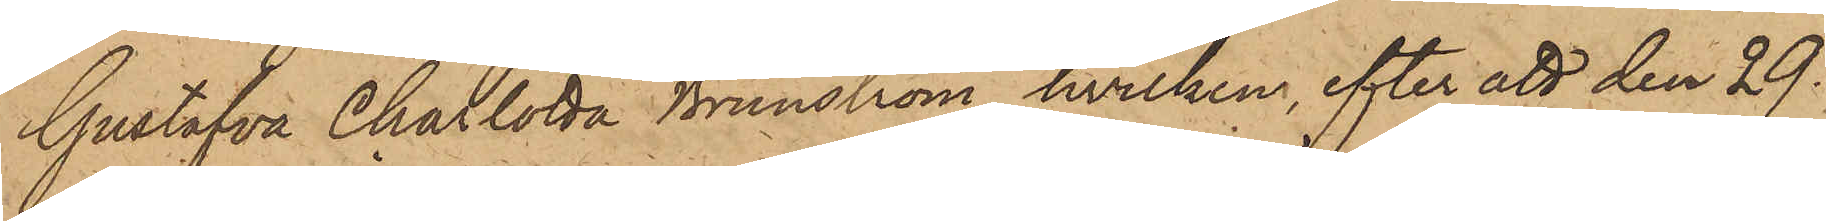Gustafva Charlotta Brunström, hvilken, efter att den 29
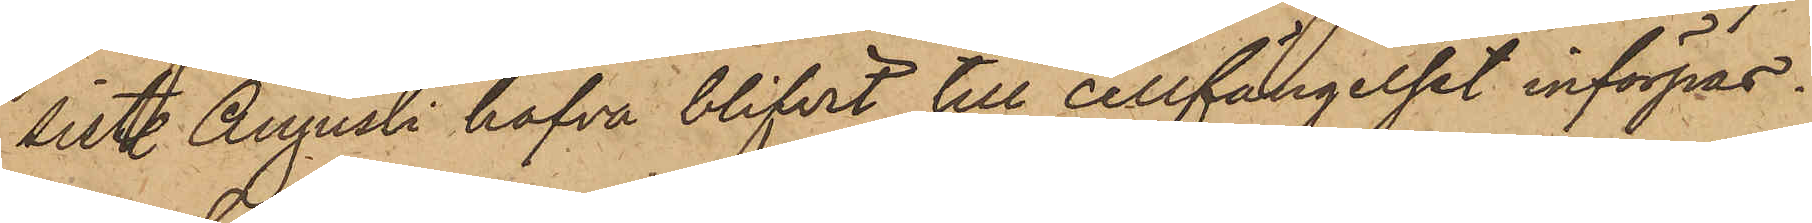sistl. Augusti hafva blifvit till cellfängelset införpas¬
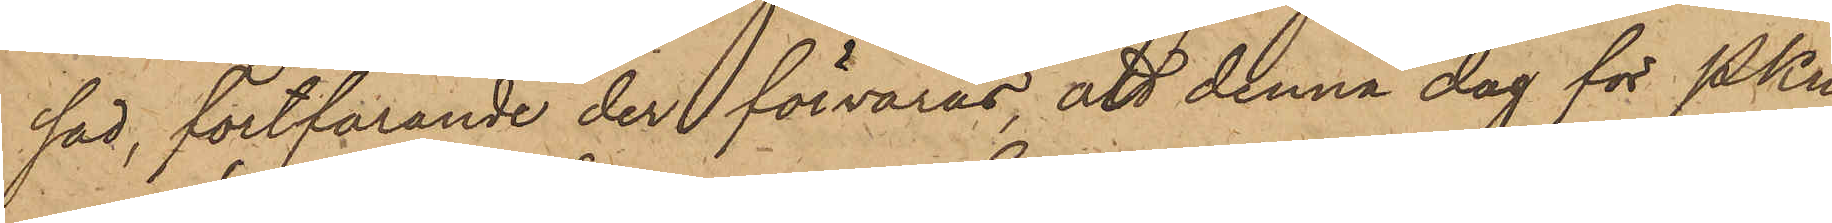sad, fortfarande der förvaras, att denna dag för PKn
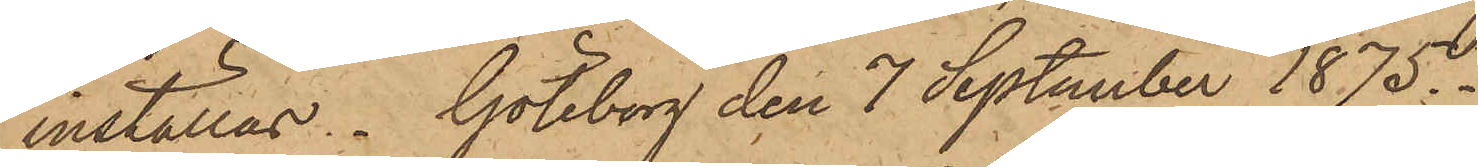inställas. Göteborg den 7 September 1875.
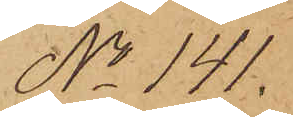No 141.
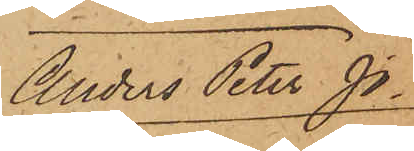Anders Peter Jo¬
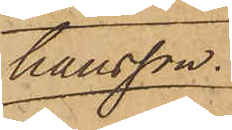hansson.
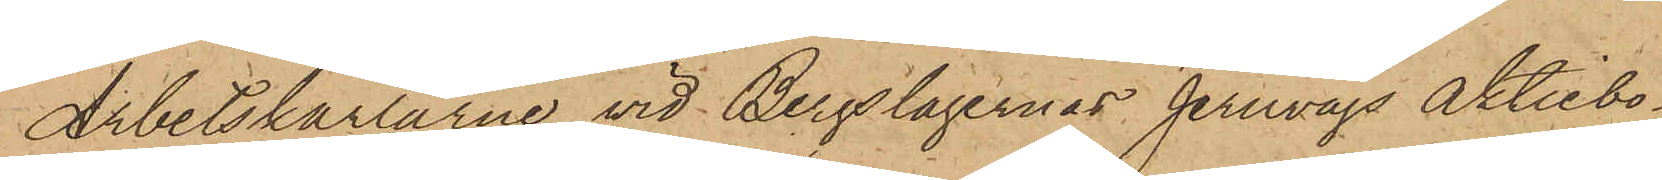Arbetskarlarne vid Bergslagernas Jernvägs Aktiebo¬
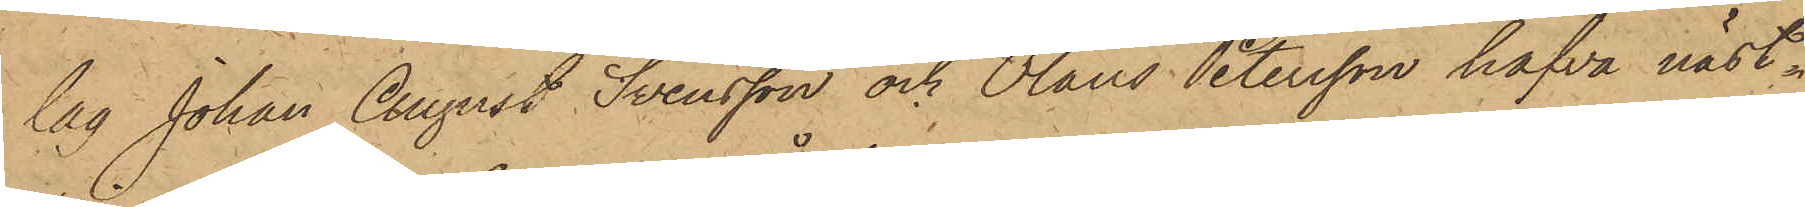lag Johan August Svensson och Olaus Petersson hafva näst¬
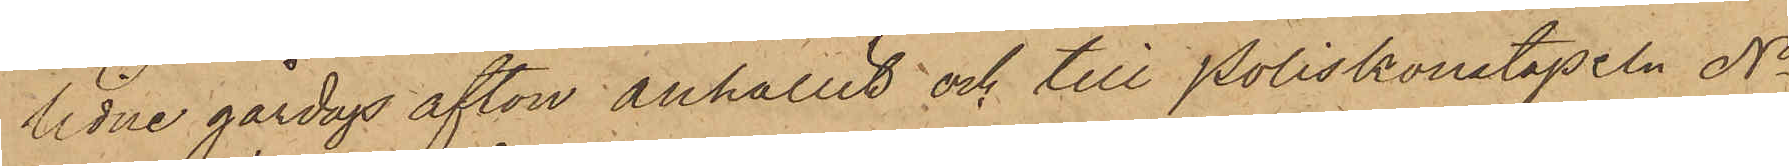lidne gårdags afton anhållit och till Poliskonstapeln No
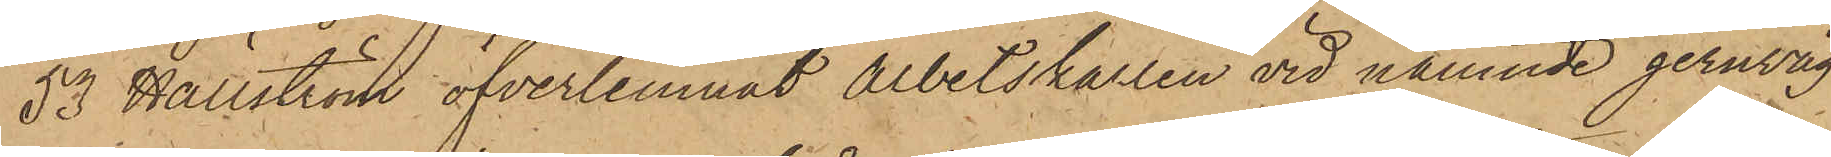53 Hällström öfverlemnat Arbetskarlen vid nämnde jernväg
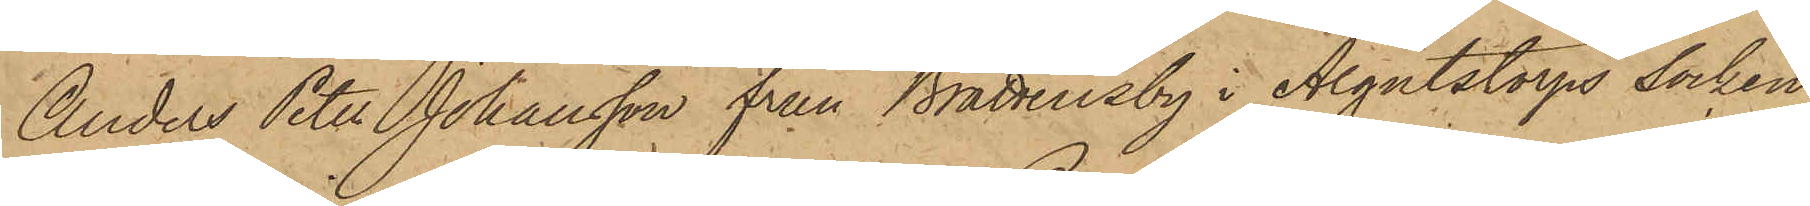Anders Peter Johansson från Brattensby i Algutstorps Socken
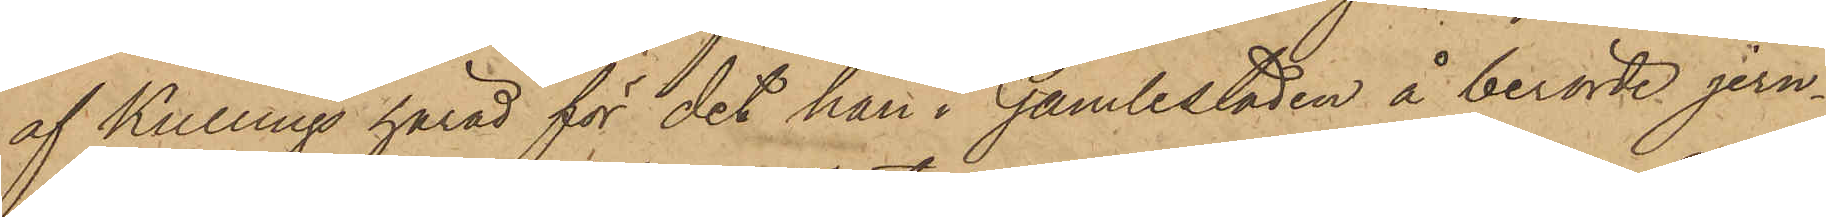af Kullings härad för det han i Gamlestaden å berörde jern¬
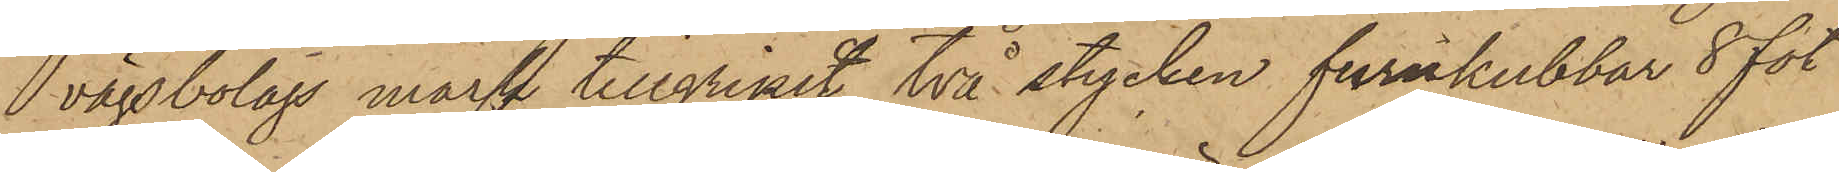vägsbolags mark tillgripit två stycken furukubbar 8 fot
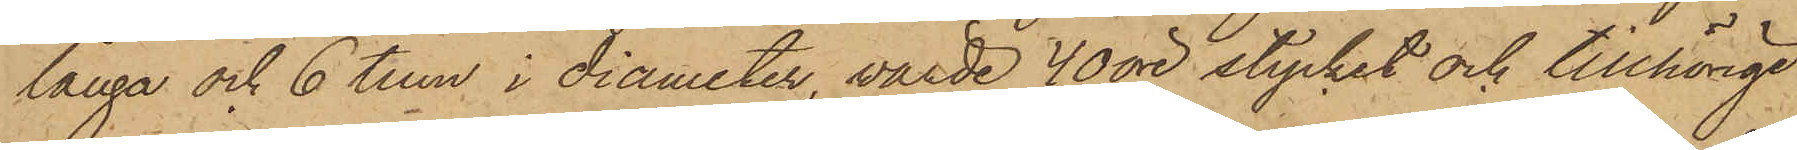långa och 6 tum i diameter, värde 40 öre stycket och tillhörige
